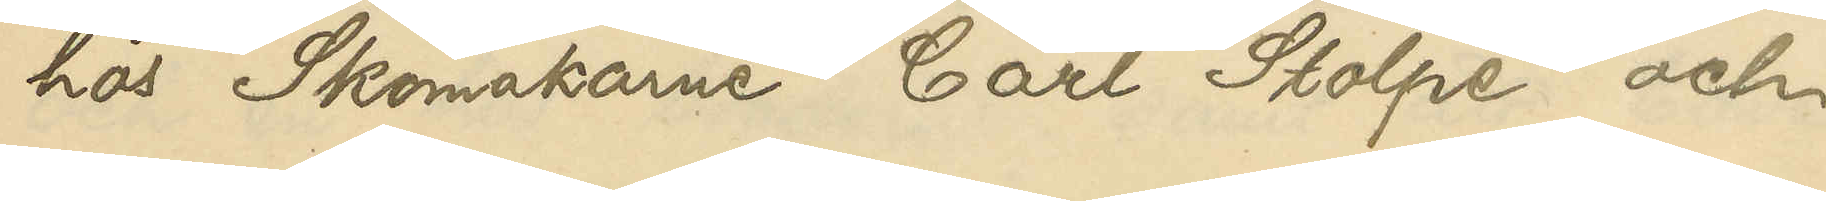hos Skomakare Carl Stolpe och
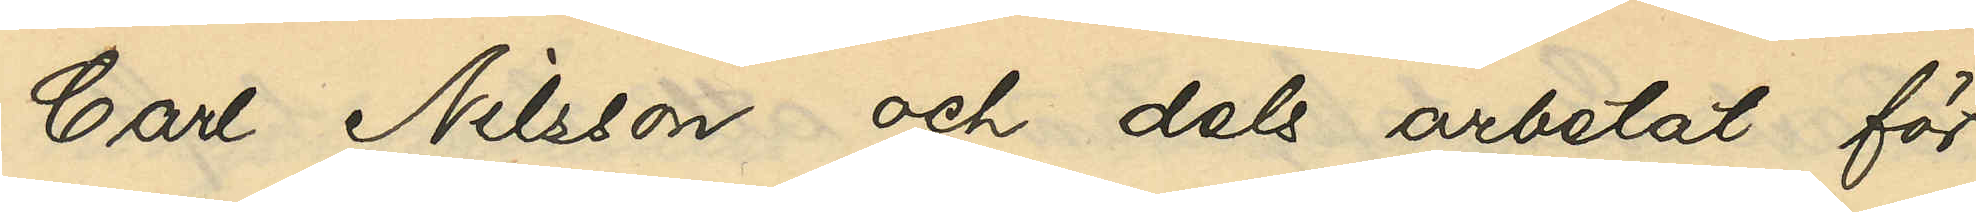Carl Nilsson och dels arbetat för
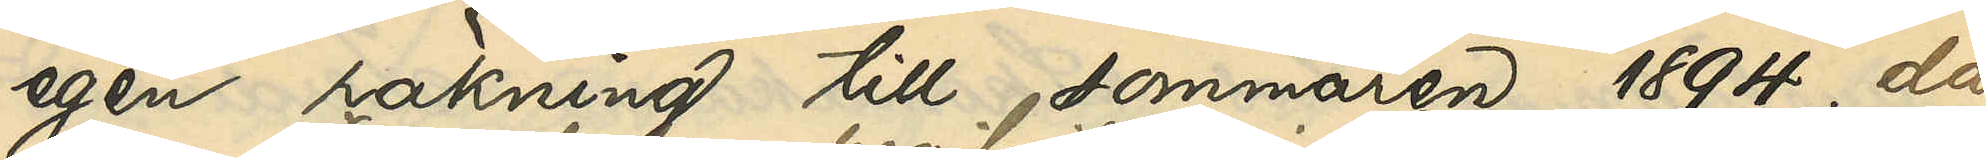egen räkning till sommaren 1894 då
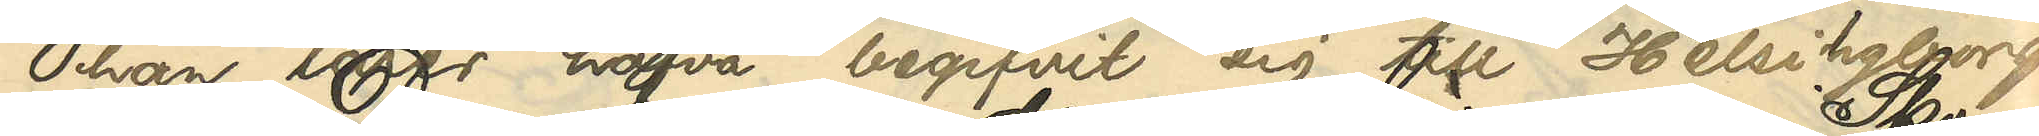han lärer hafva begifvit sig till Helsingborg.
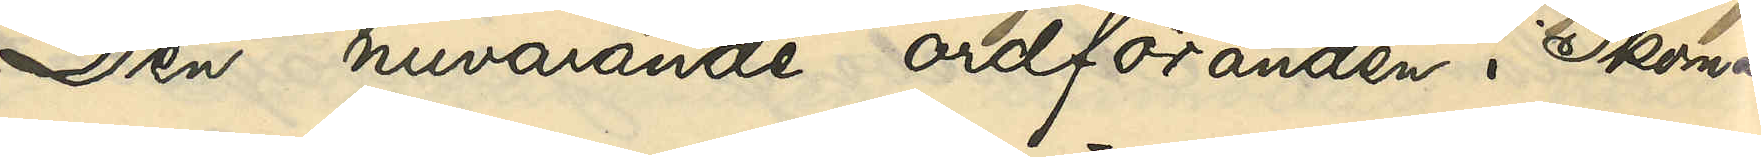Den nuvarande ordföranden i Skom¬
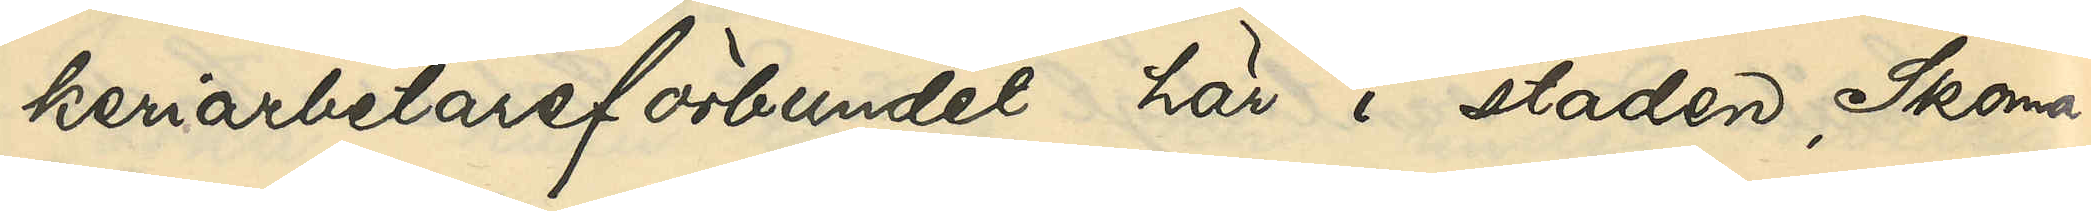keriarbetareförbundet här i staden, Skoma¬
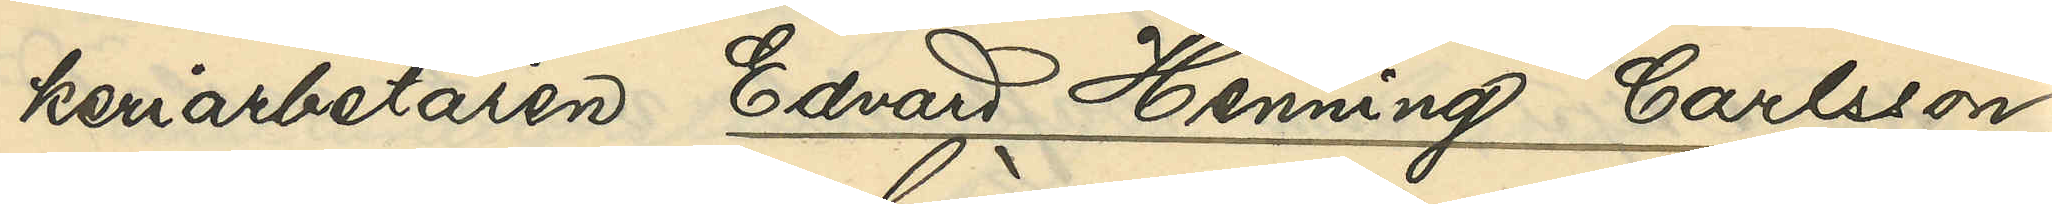keriarbetaren Edvard Henning Carlsson,
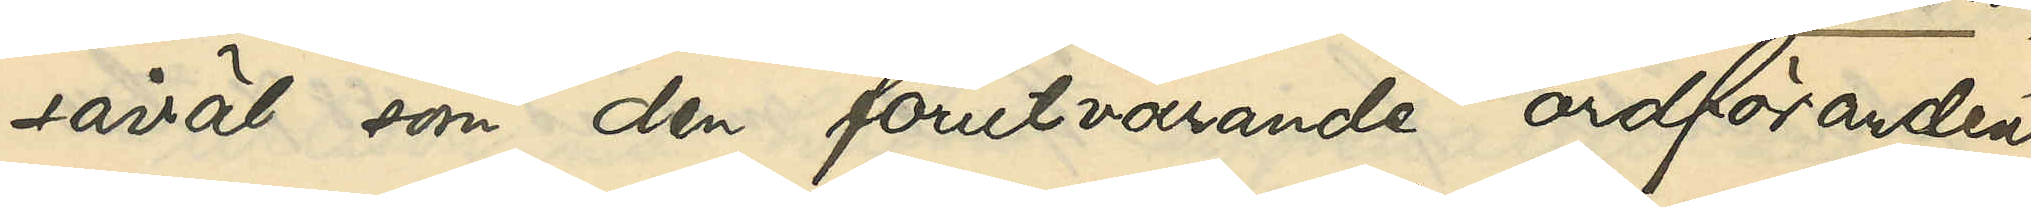såväl som den förutvarande ordföranden
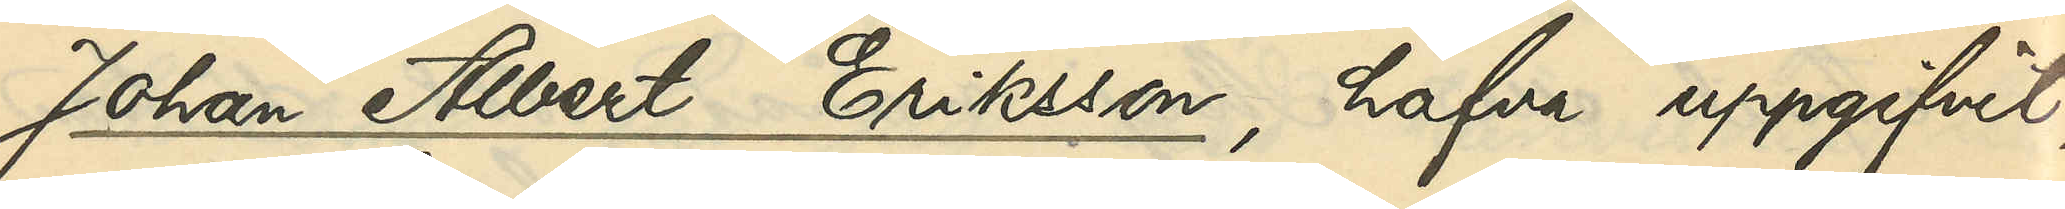Johan Albert Eriksson, hafva uppgifvit,
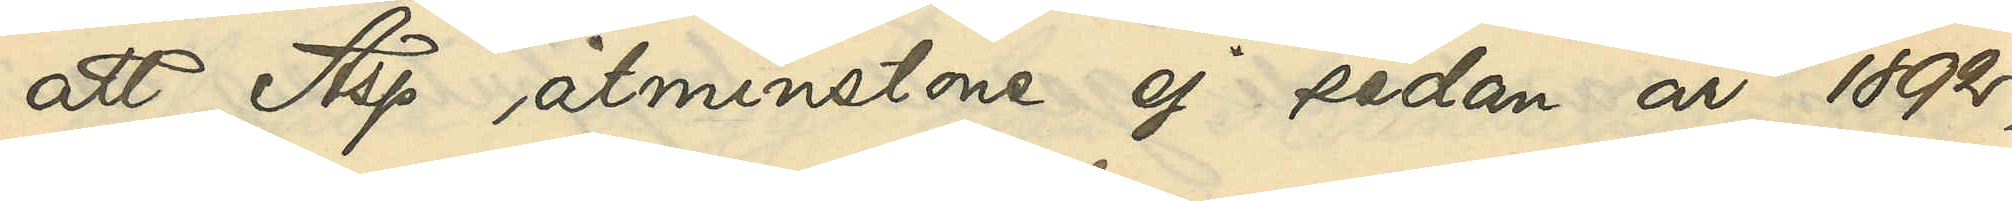att Asp åtminstone ej sedan år 1892,
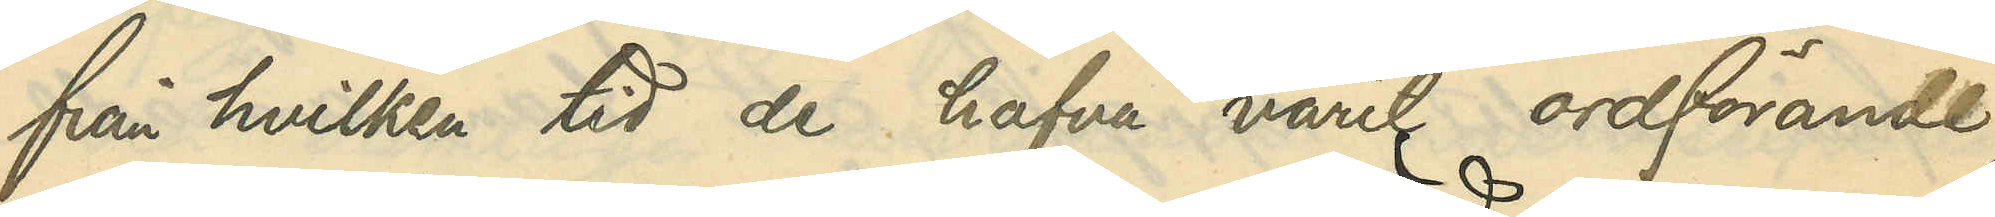från hvilka tider de hafva varit ordförande,
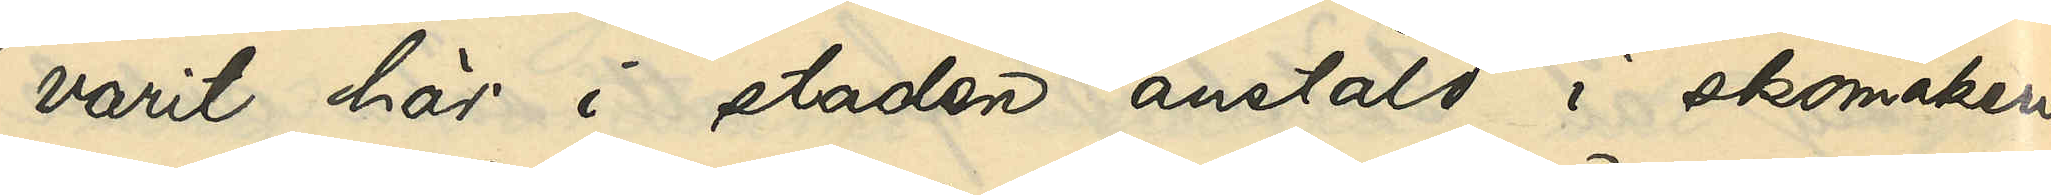varit här i staden anstäld i skomakeri¬
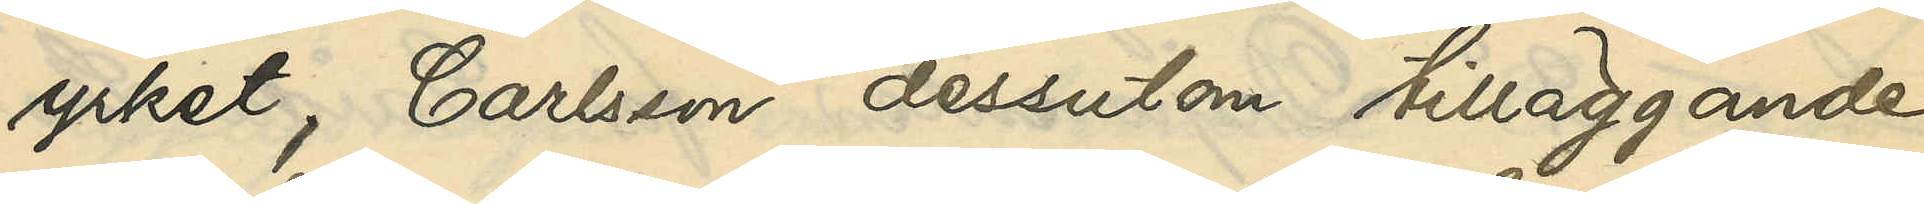yrket, Carlsson dessutom tilläggande,
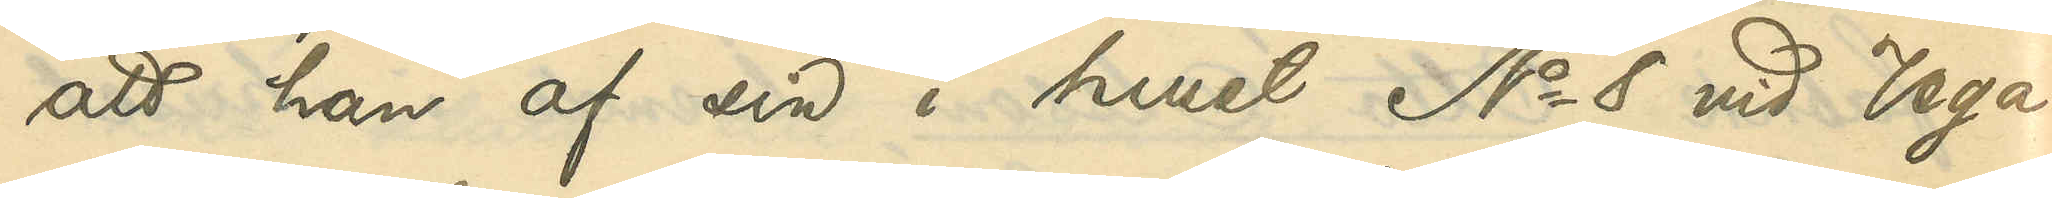att han af sin i huset No 8 vid Vega¬
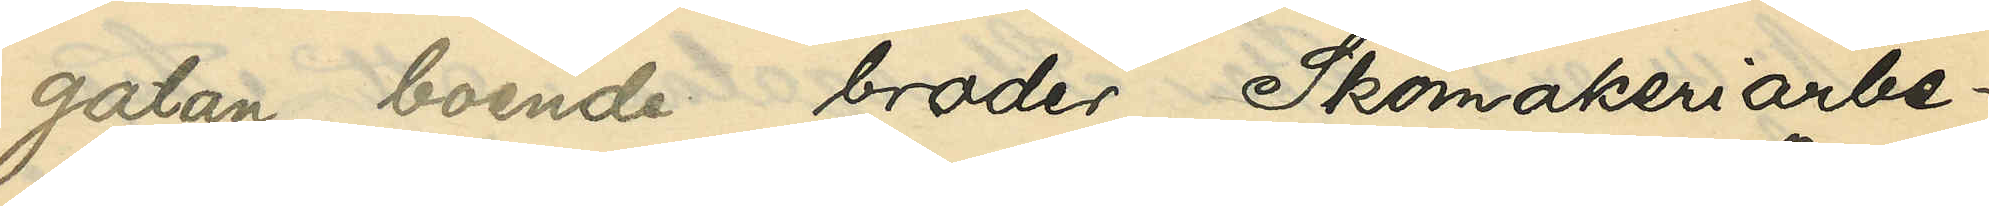gatan boende broder, Skomakeriarbe¬
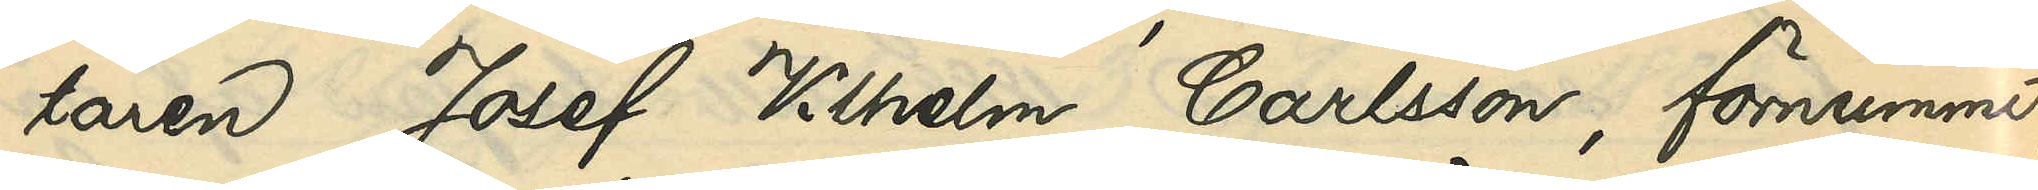taren Josef Vilhelm Carlsson, förnummit,
